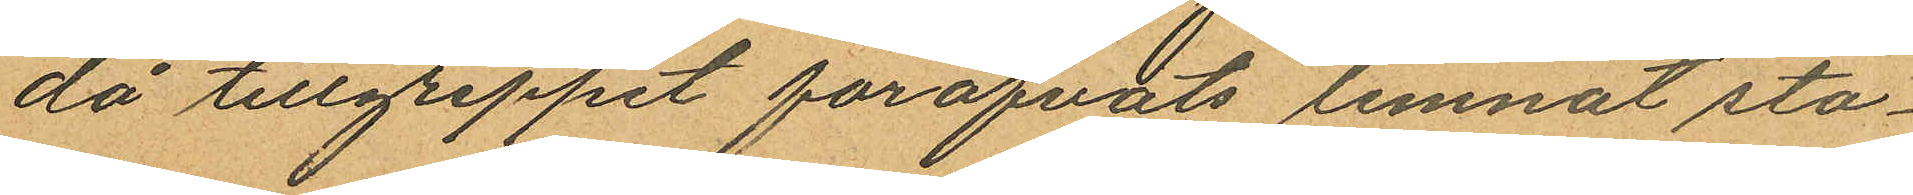då tillgreppet föröfvats lemnat sta¬
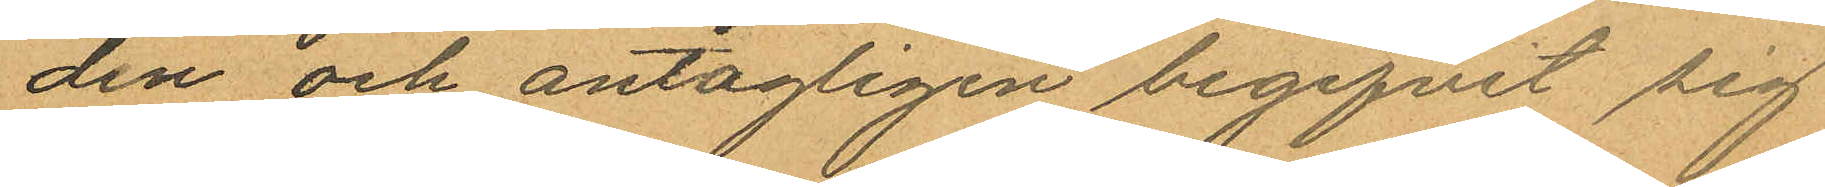den och antagligen begifvit sig
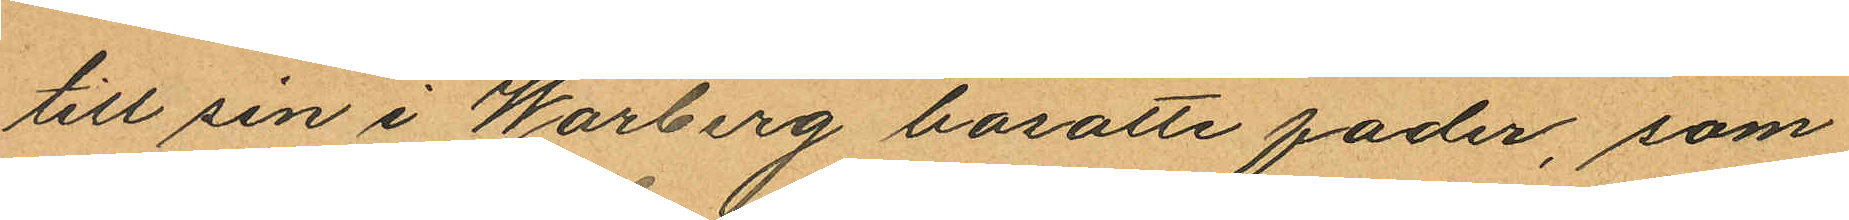till sin i Warberg bosatte fader, som
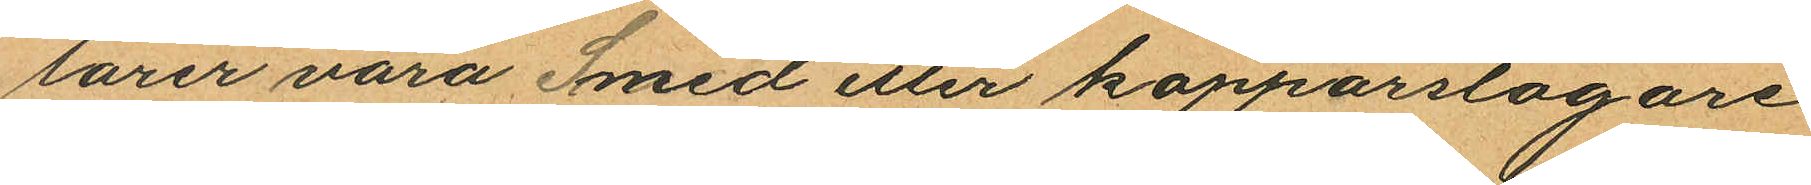lärer vara Smed eller kopparslagare
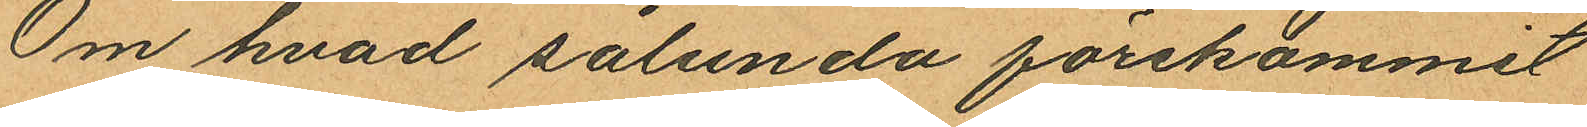Om hvad sålunda förekommit
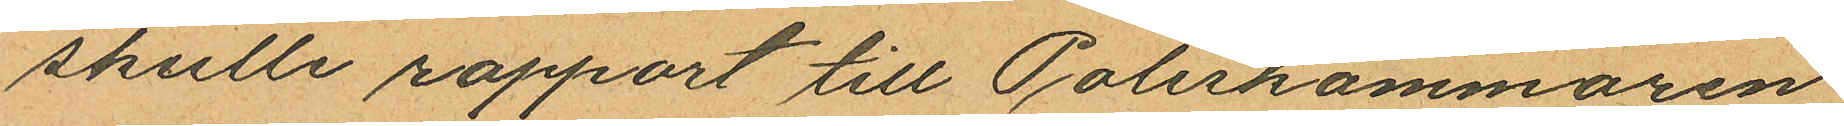skulle rapport till Poliskammaren
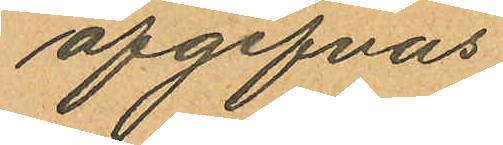afgifvas.
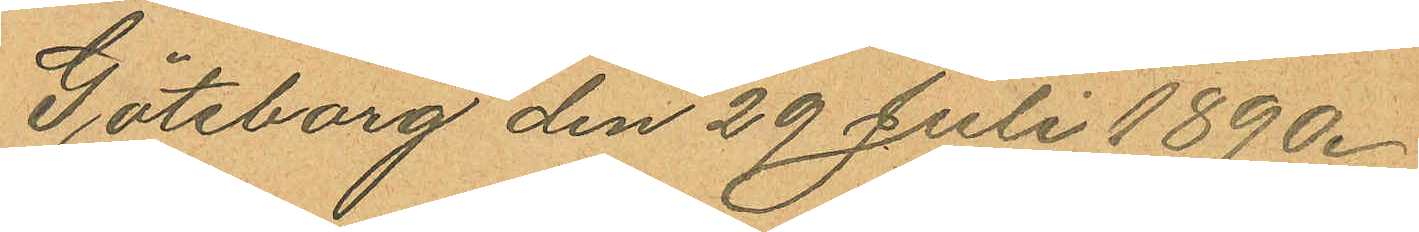Göteborg den 29 Juli 1890.
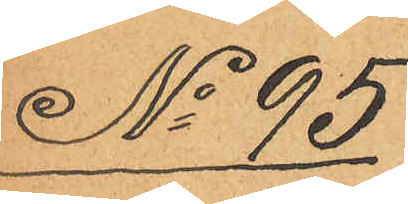No 95
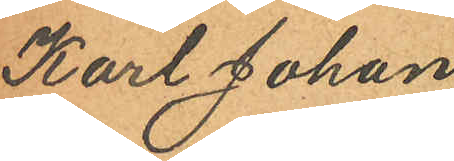Karl Johan
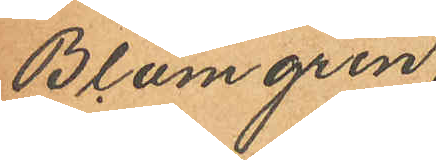Blomgren,
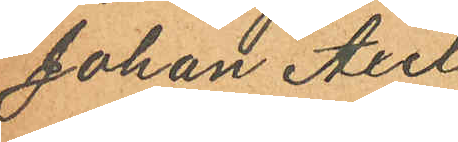Johan Axel
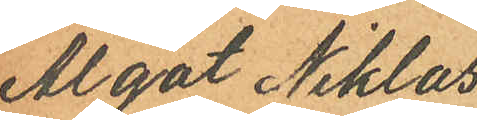Algot Niklas¬
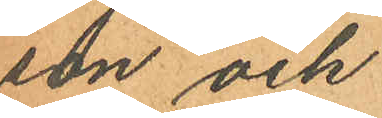son och
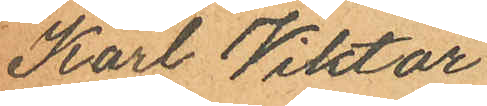Karl Viktor
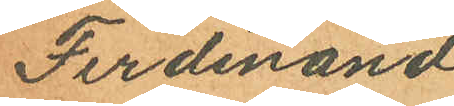Ferdinand
